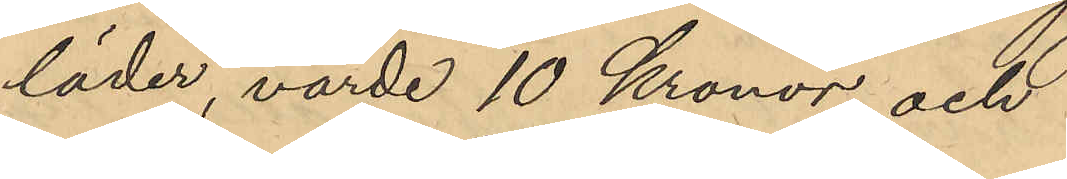läder, värde 10 Kronor och
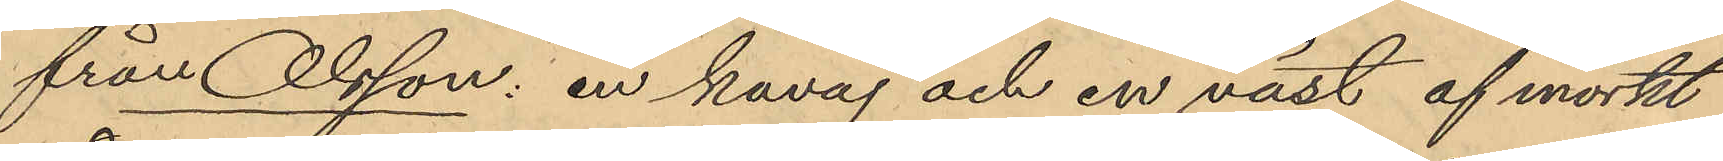från Olsson: en kavaj och en väst af mörkt
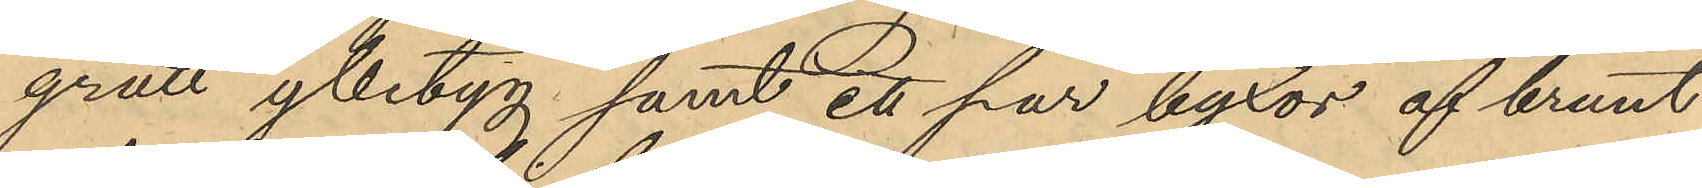grått ylletyg samt ett par byxor af brunt
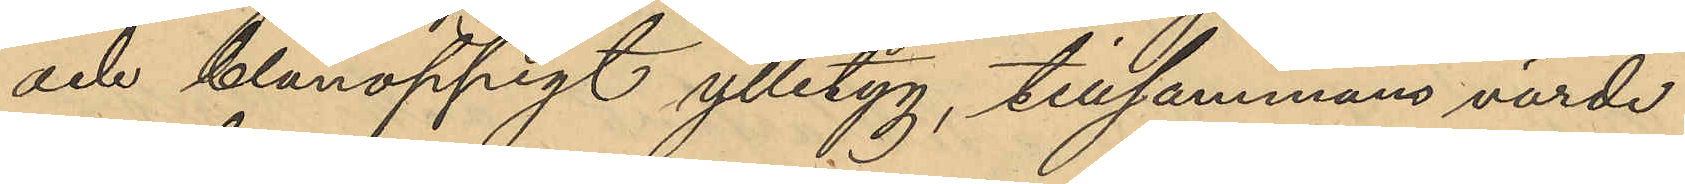och blånoppigt ylletyg, tillsammans värde
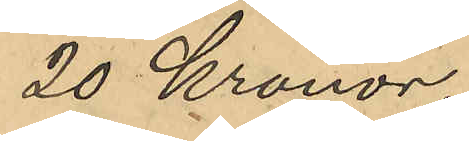20 Kronor.
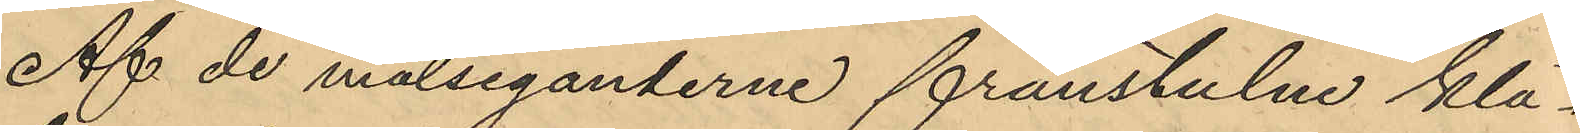Af de målseganderne frånstulne klä¬
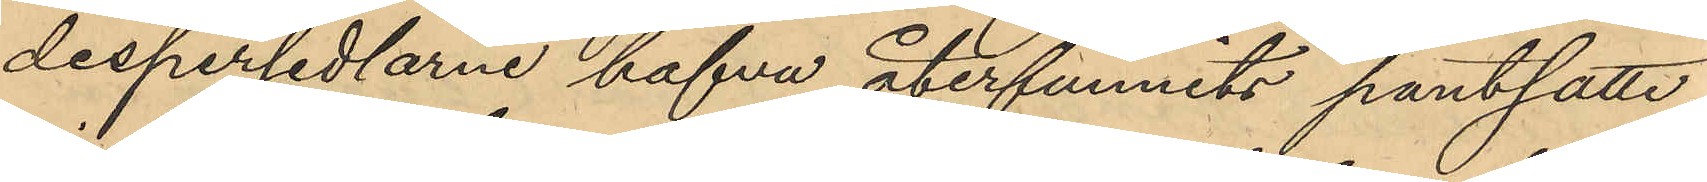despersedlarne hafva återfunnits pantsatte
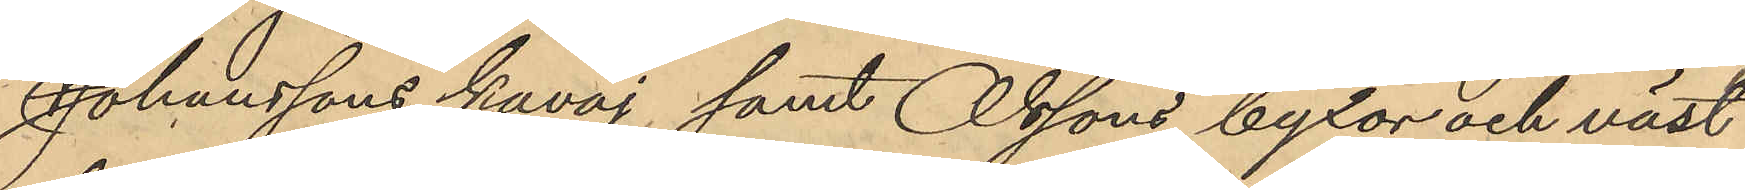Johanssons kavaj samt Olssons byxor och väst
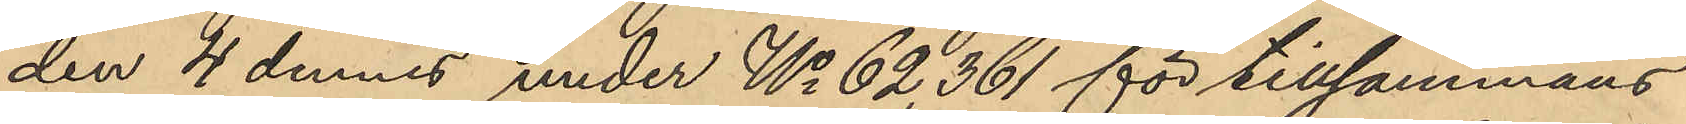den 4 dennes under No 62,361 för tillsammans
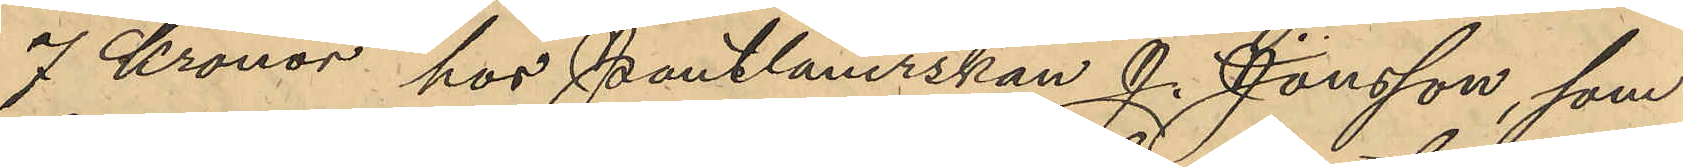7 Kronor hos Pantlånerskan J. Jönsson, som
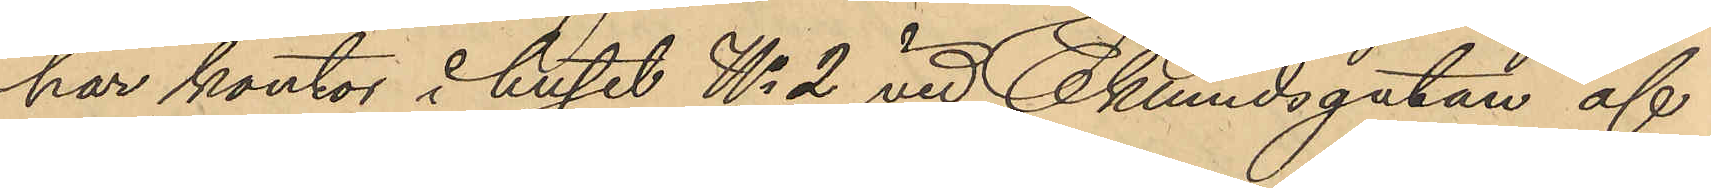har kontor i huset No 2 vid Eklundsgatan af
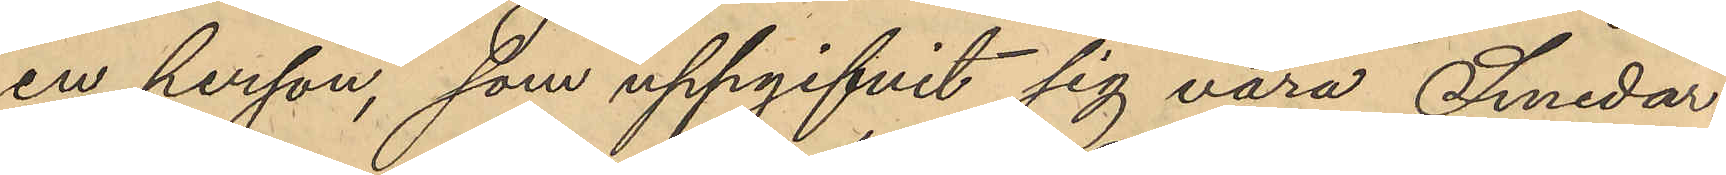en person, som uppgifvit sig vara Smedar¬
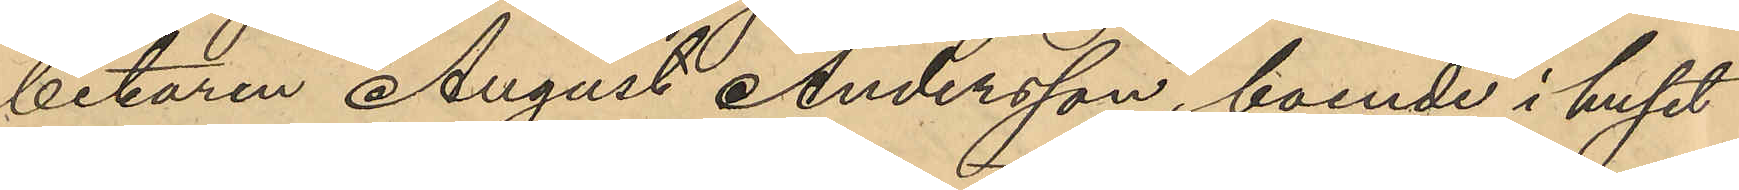betaren August Andersson, boende i huset
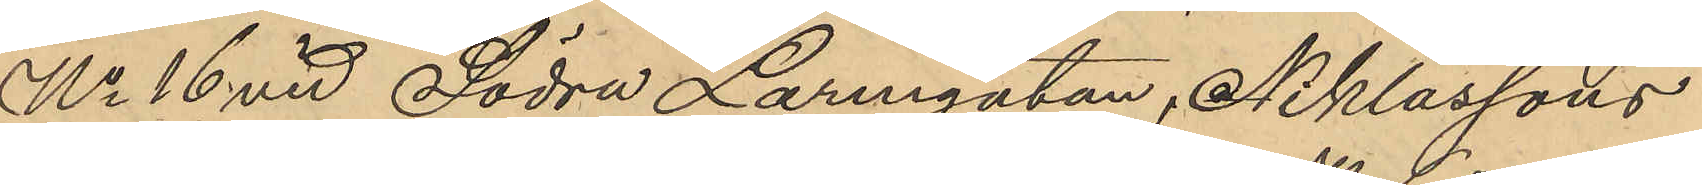No 16 vid Södra Larmgatan, Niklassons
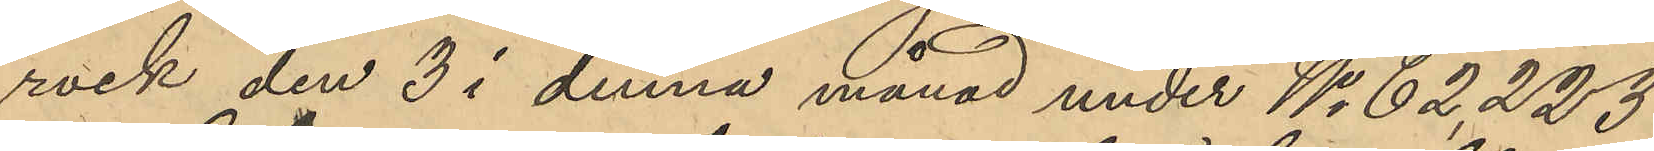rock den 3 i denna månad under No 62,223
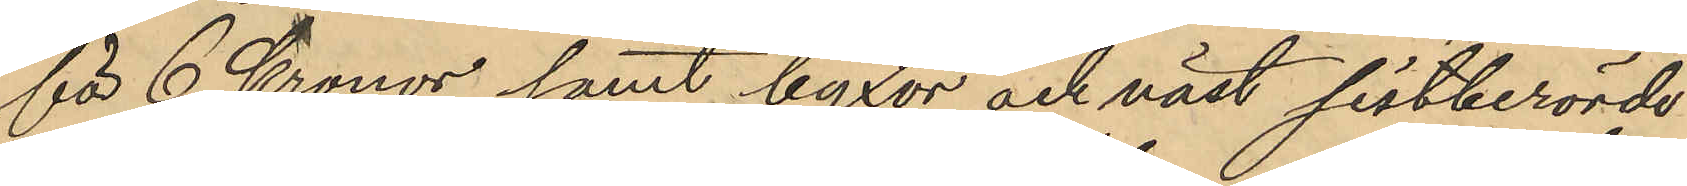för 6 Kronor samt byxor och väst sistberörde
